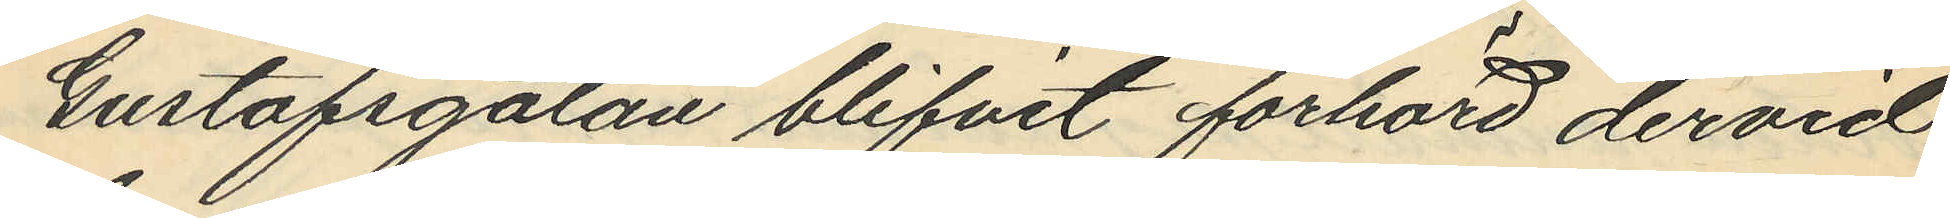Gustafsgatan blifvit förhörd dervid
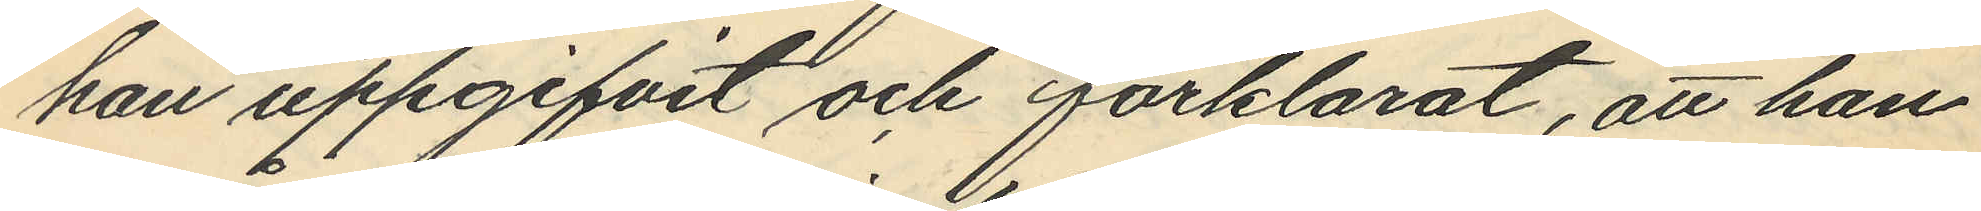han uppgifvit och förklarat, att han
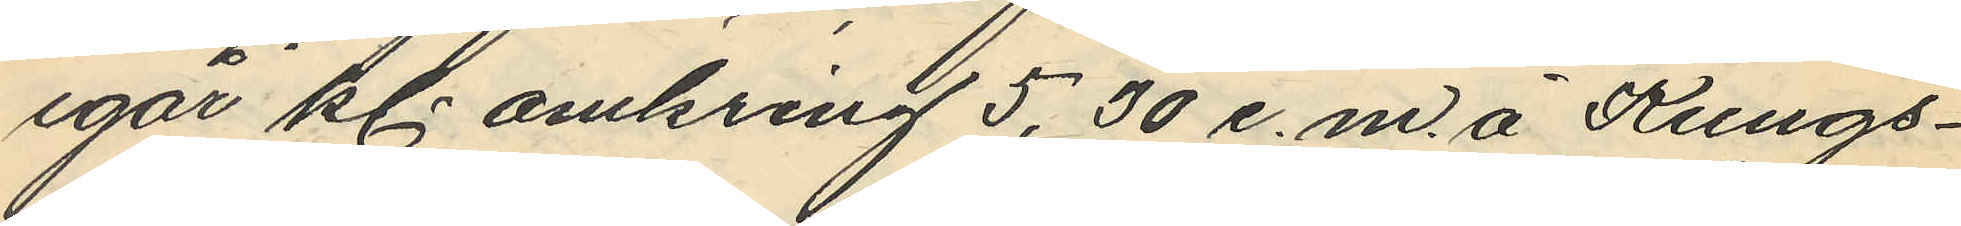igår kl. omkring 5,30 e.m. å Kungs¬
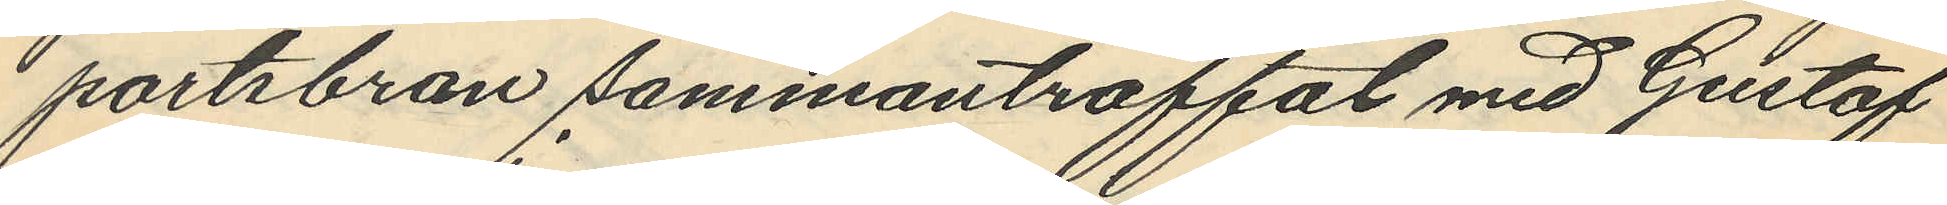portsbron sammanträffat med Gustaf
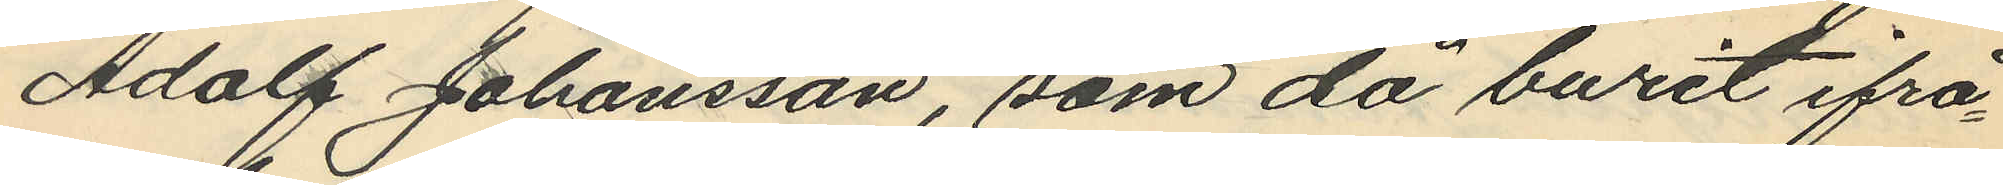Adolf Johansson, som då burit ifrå¬
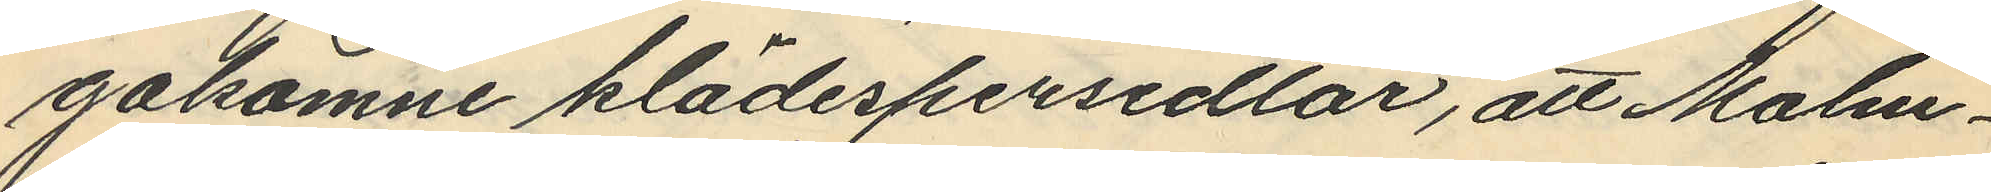gakomne klädespersedlar, att Malm¬
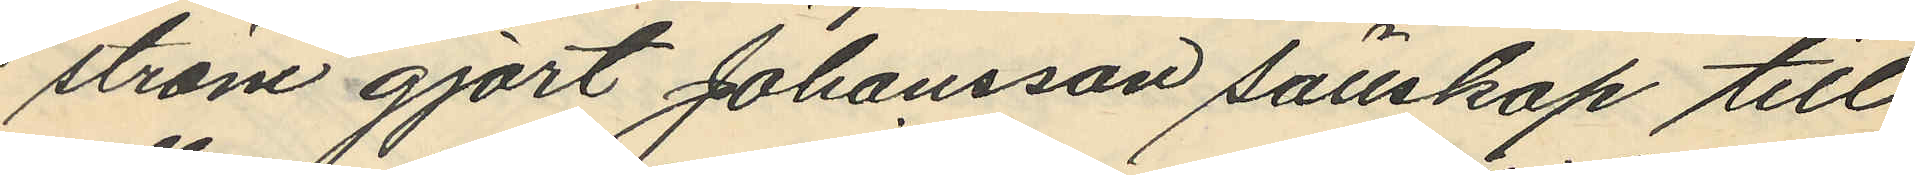ström gjort Johansson sällskap till
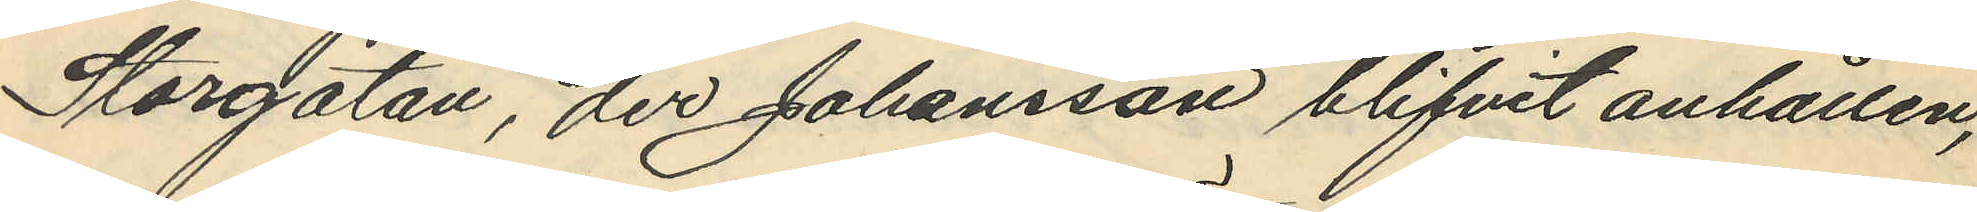Storgatan, der Johansson blifvit anhållen,
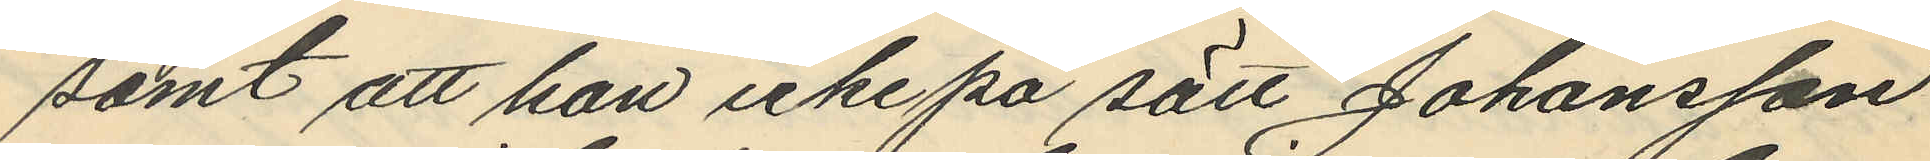samt att han icke på sätt Johansson
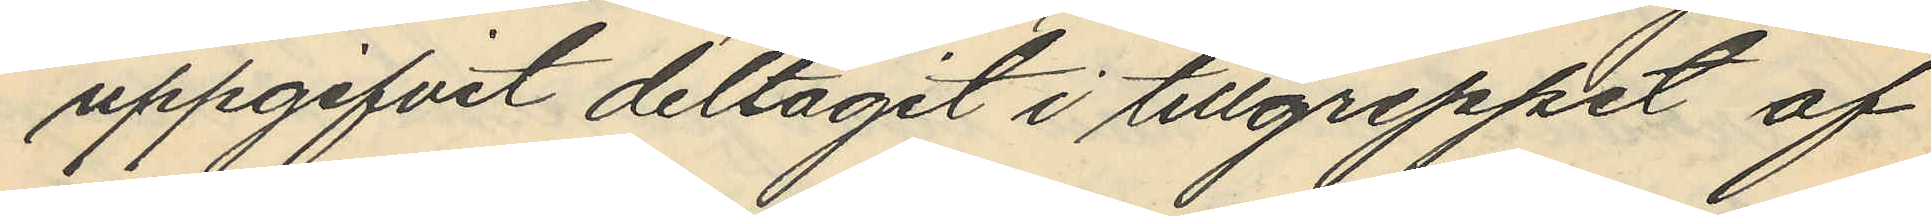uppgifvit deltagit i tillgreppet af
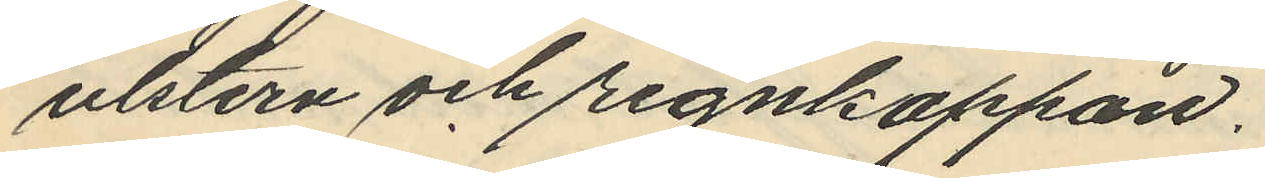utstern och regnkappan.
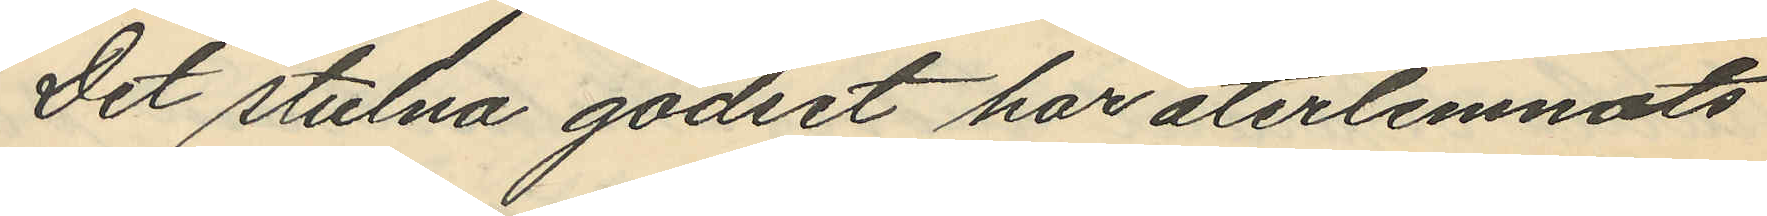Det stulna godset har återlemnats
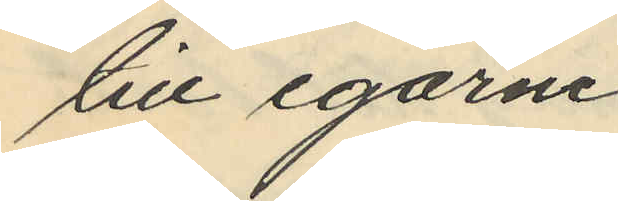till egarne
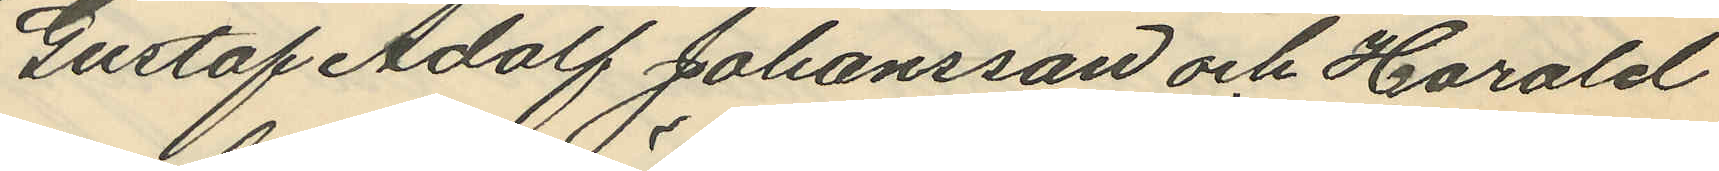Gustaf Adolf Johansson och Harald
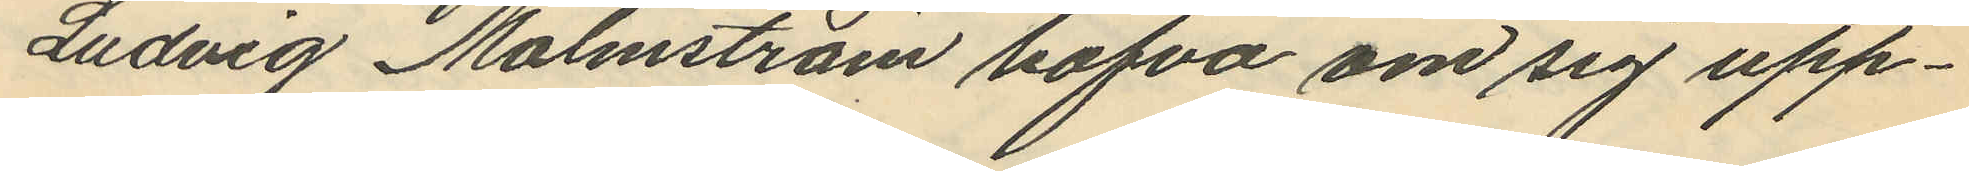Ludvig Malmström hafva om sig upp¬
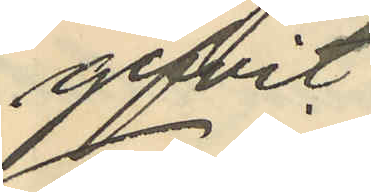gifvit
